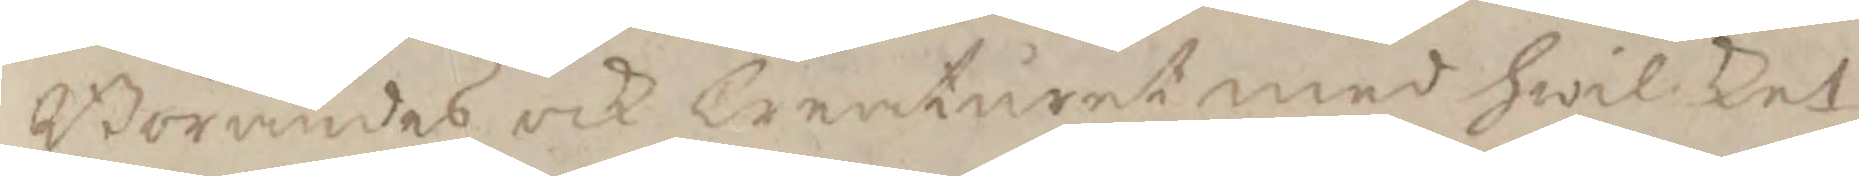Börandes och Creaturet med hwilket
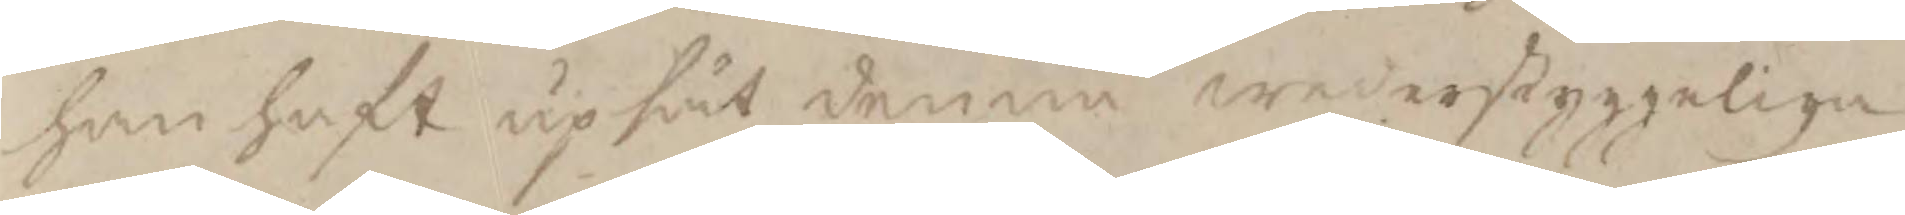han haft upsåt denna wederstyggelige
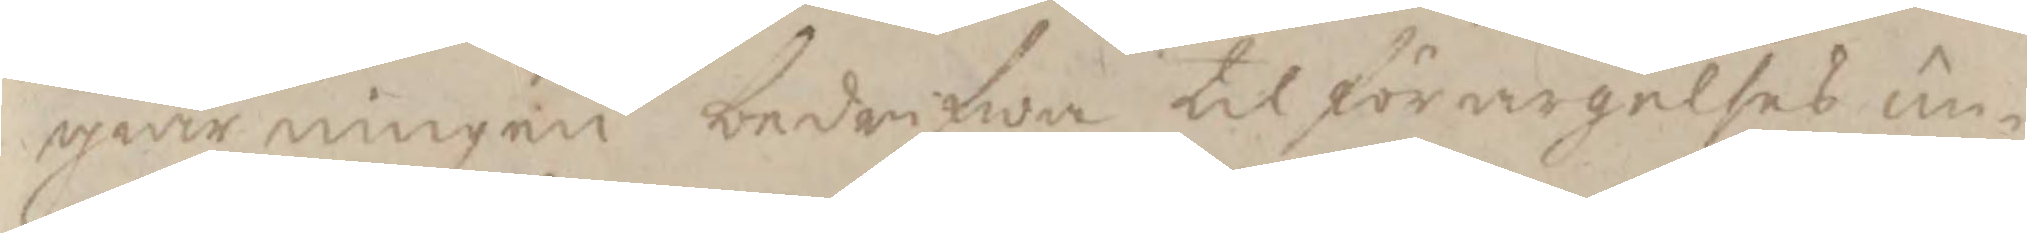giärningen bedrifwa til förargelses un¬
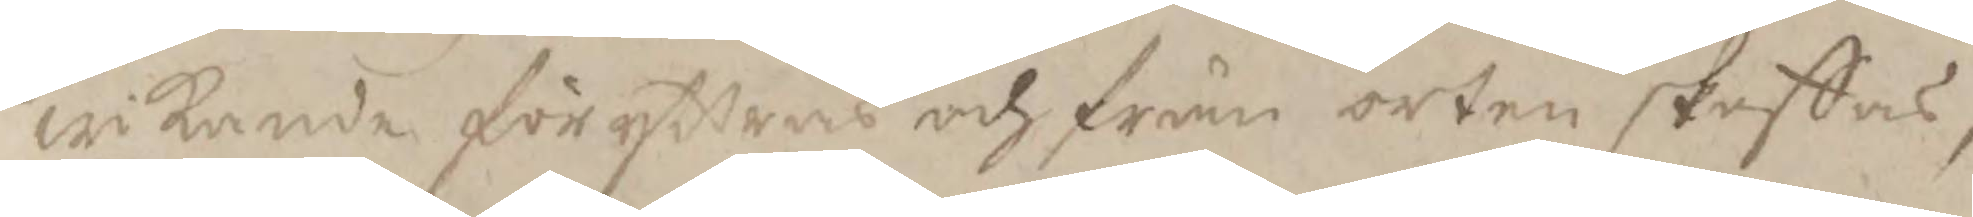wikande föryttras och från orten skaffas;
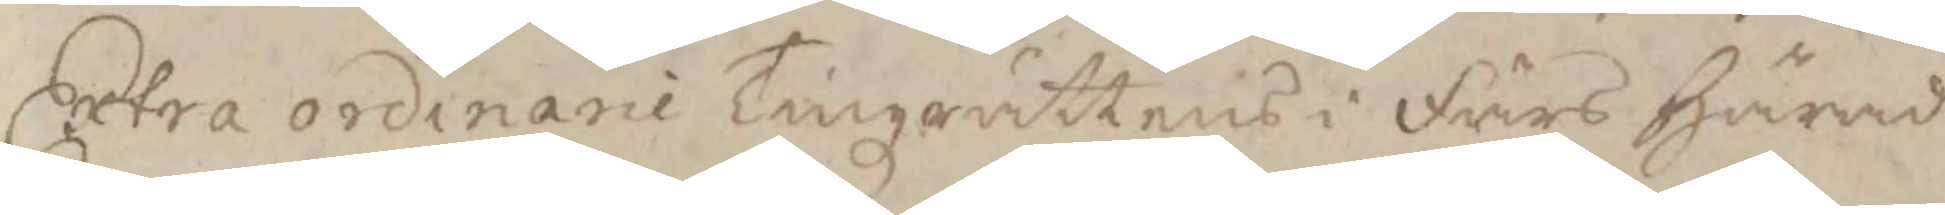Extra ordinarie Tingzrättens i Fårs härad
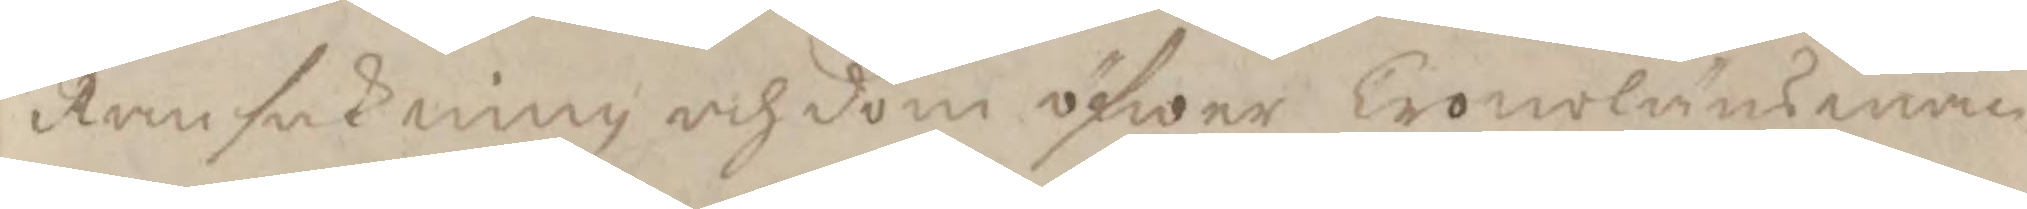Ransakning och dom öfwer Cronoländsman¬
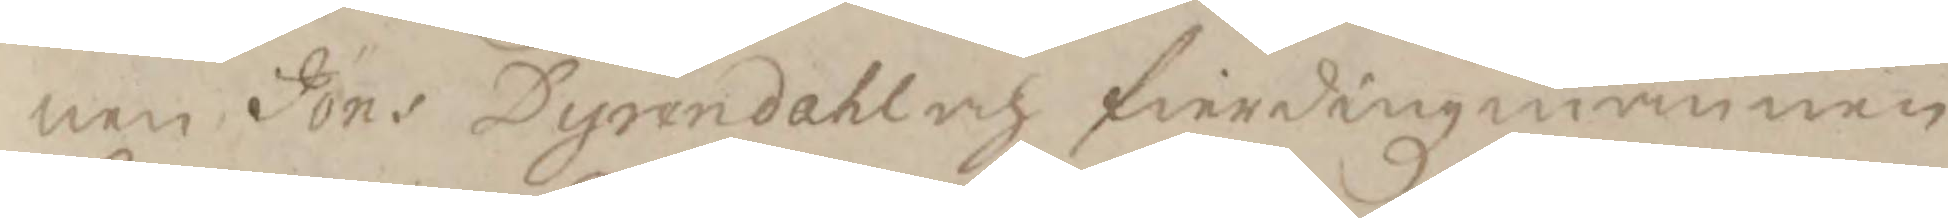nen Jöns Dyrendahl och fierdingxmannen
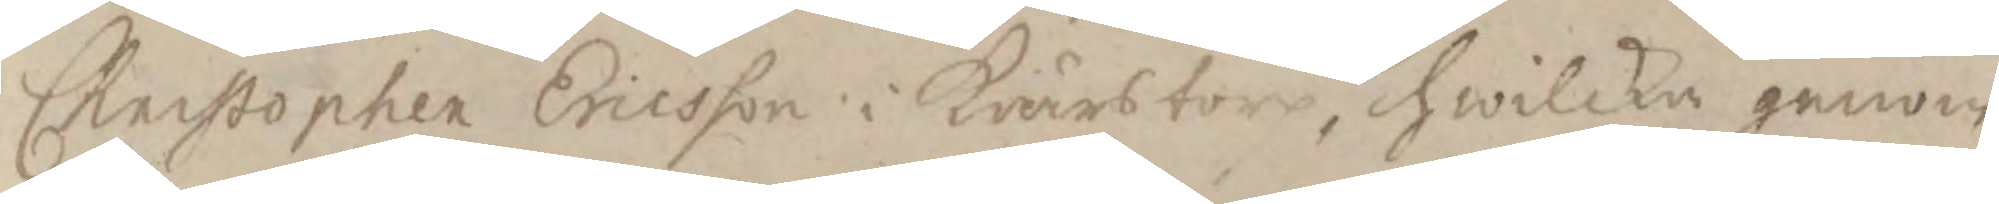Christopher Ericson i Krärstorp, hwilka genom
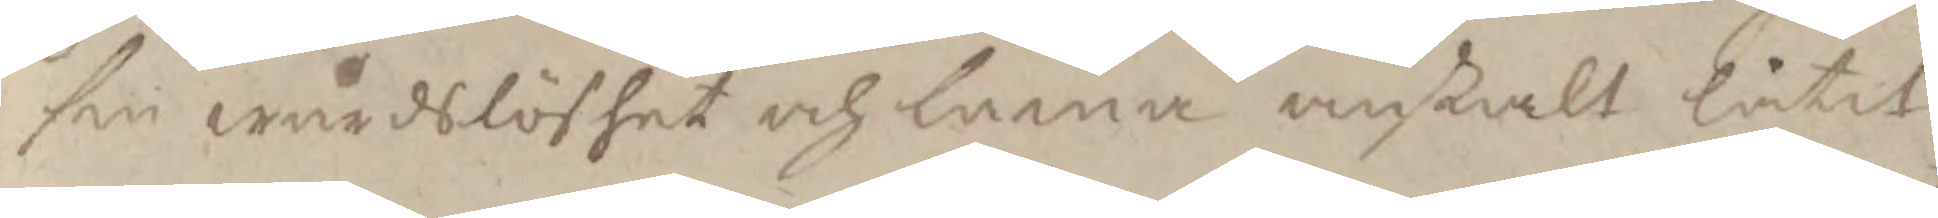sin wårdslöshet och lema anstalt låtit
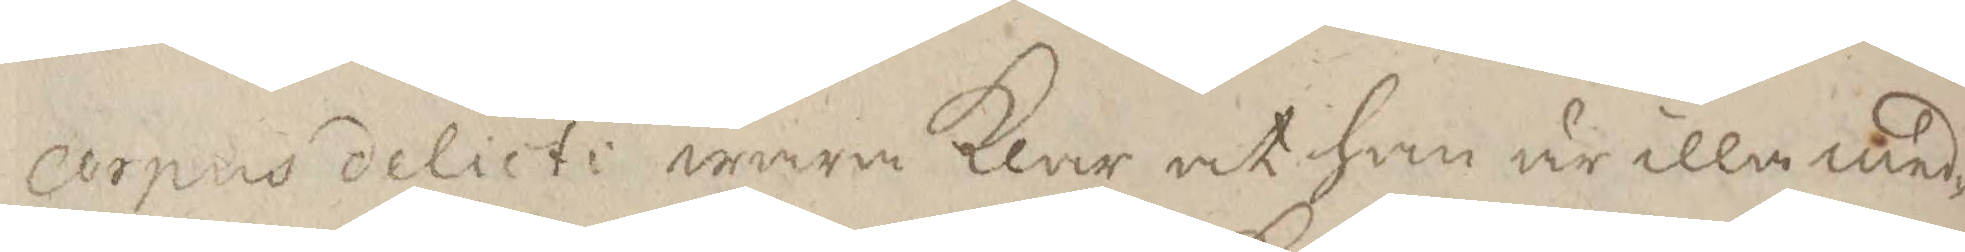corpus delicte wara Klar at han är illa med¬
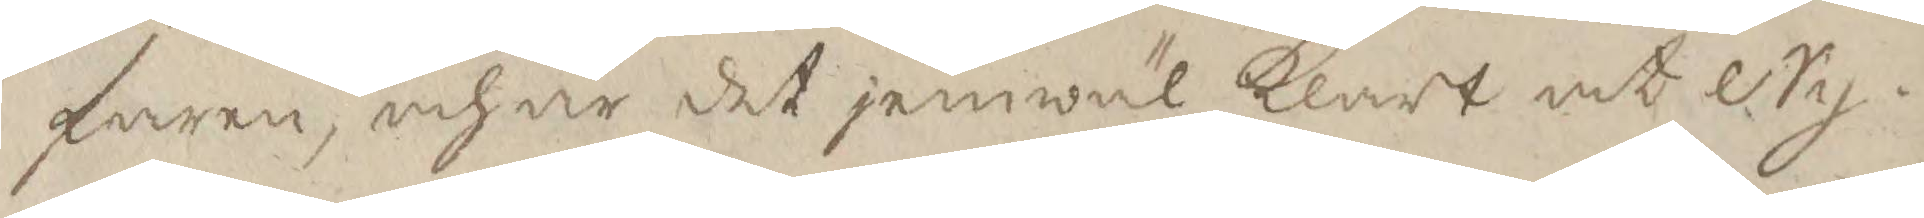faren, och är det jemwäl Klart at Ny¬
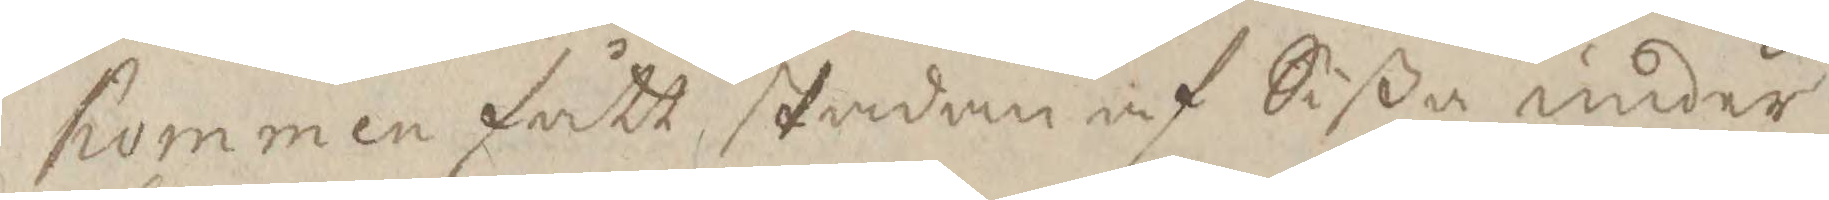hommen fått skadan af Sißa under
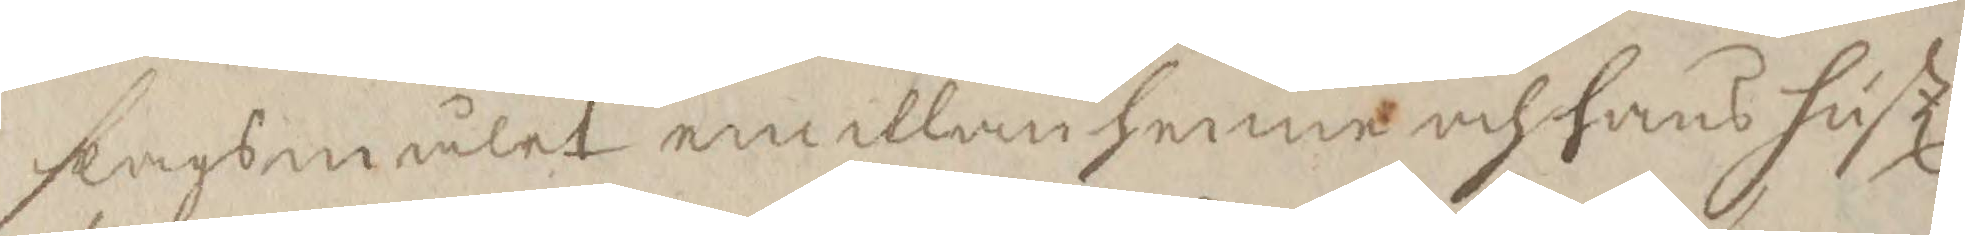slagsmålet emellan henne och hans hustl
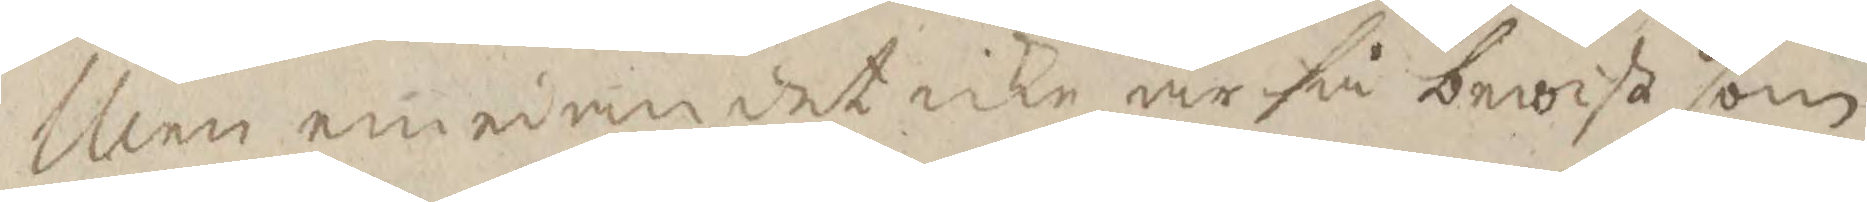Men emedan det icke är så bewist som
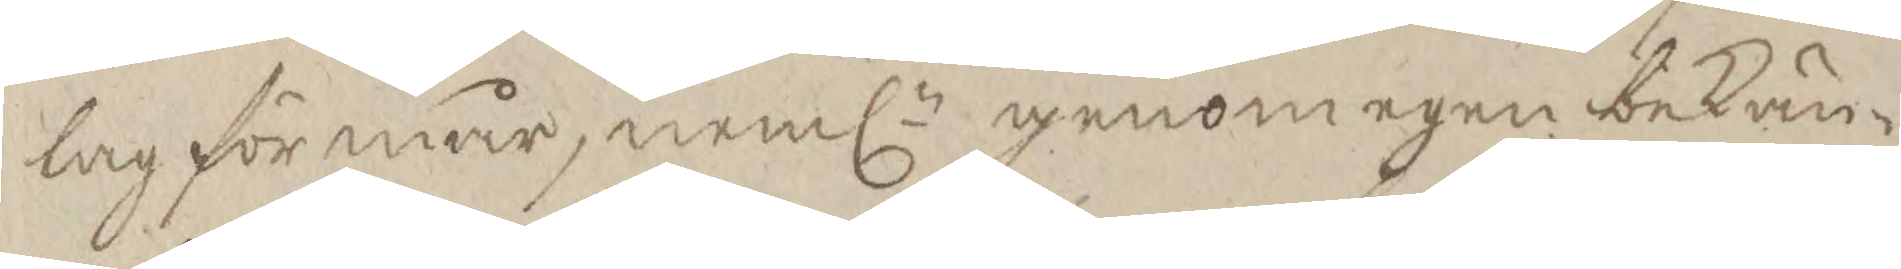lag förmår, nemln genom egen bekän¬
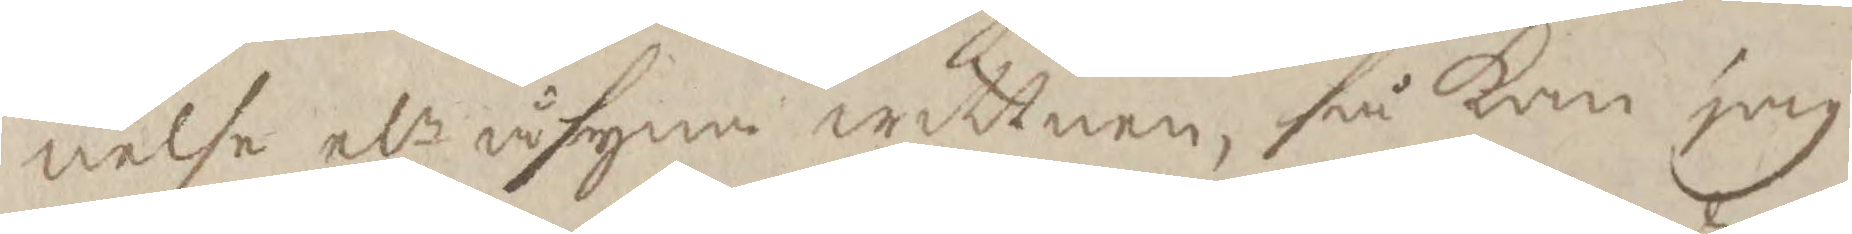nelse elr åsyne wittnen, så kan jag
